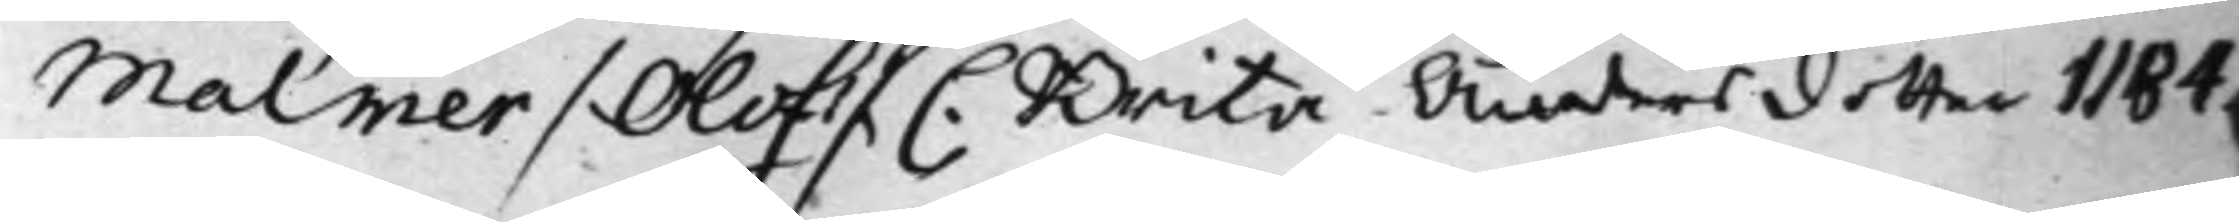Malmer / Olof / C. Brita Anders dotter 1184.
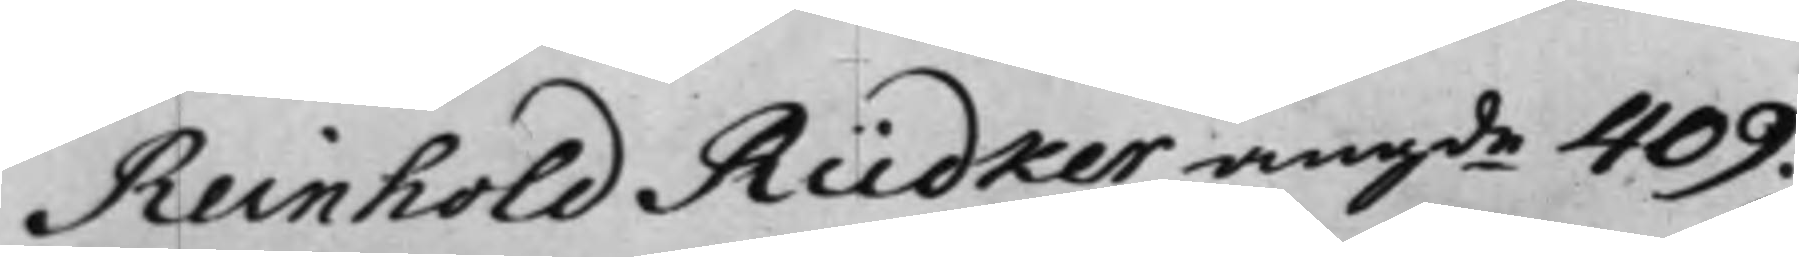Reinhold Rüdker, angde 409.
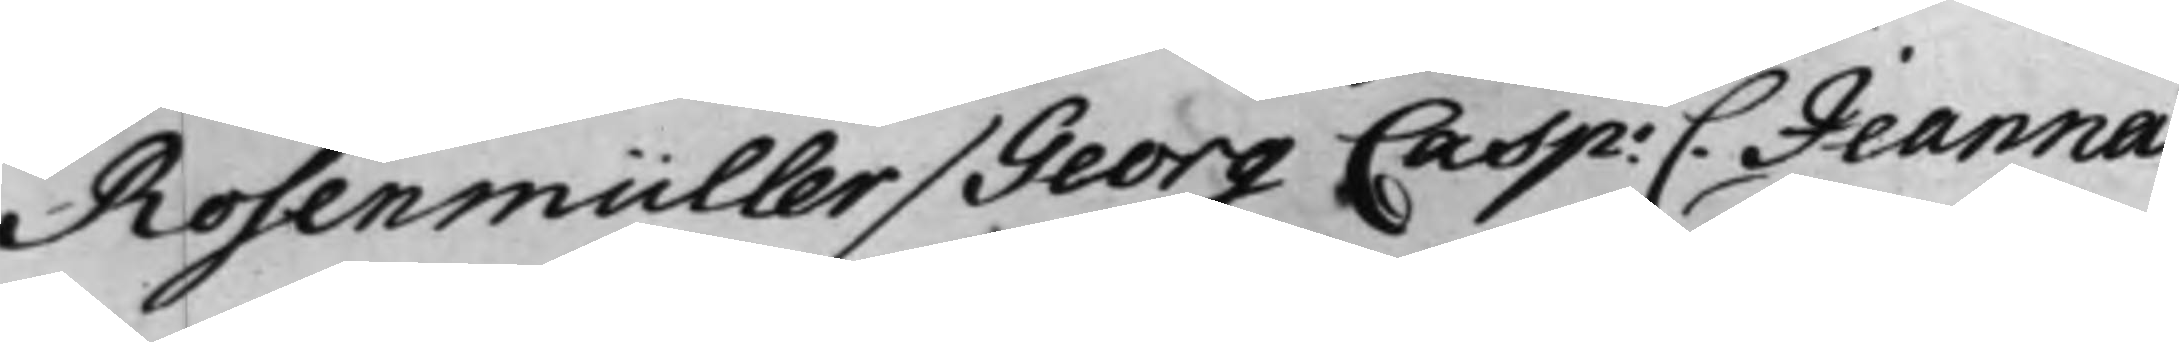Rosenmüller / Georg Casp: C. Jeanna
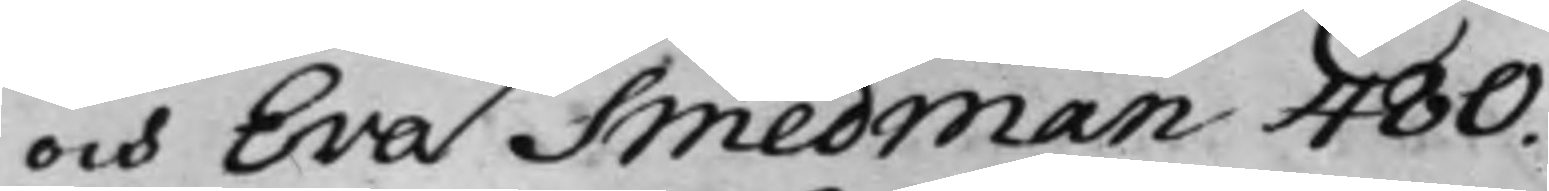och Eva Smedman 480.
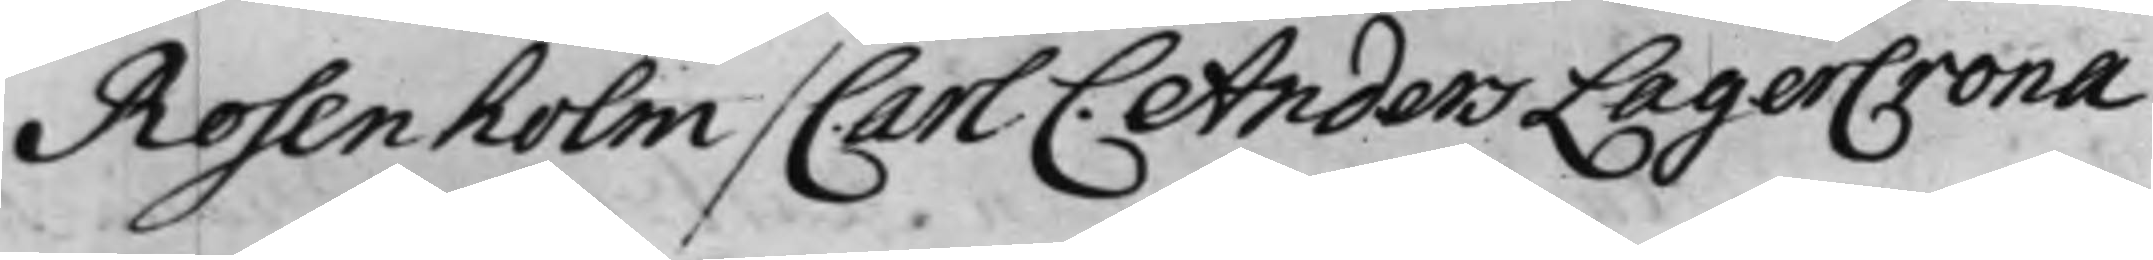Rosenholm / Carl C. Anders LagerCrona
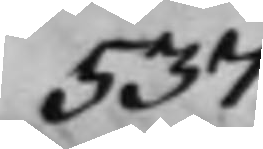537.
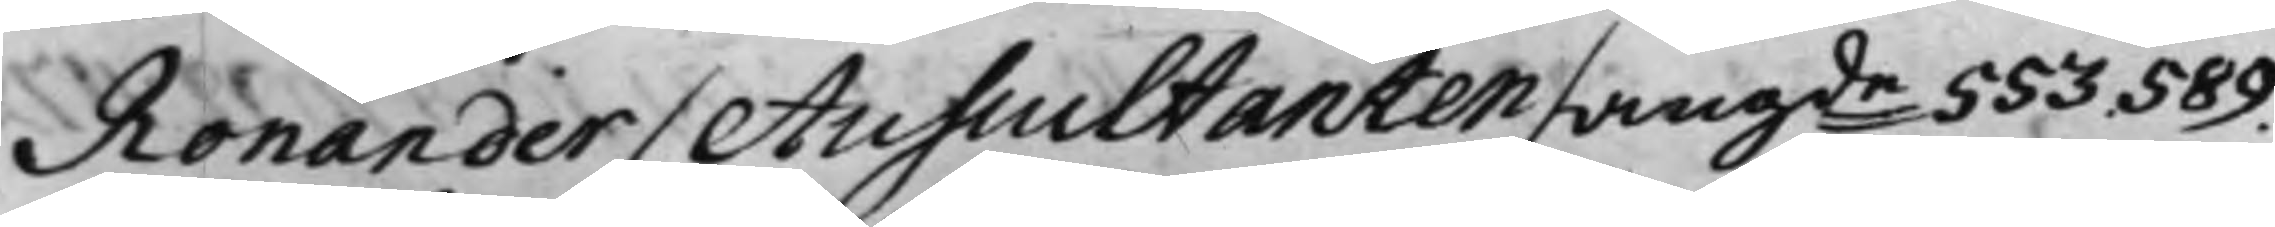Ronander / Auscultanten / angde 553 589.
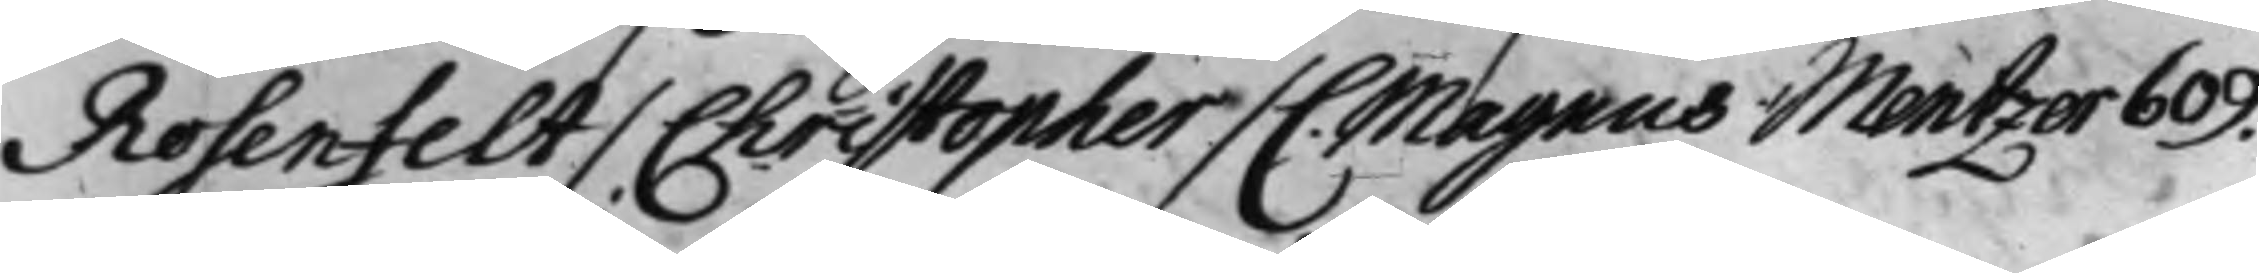Rosenfelt / Christopher / C. Magnus Mentzer 6+0.
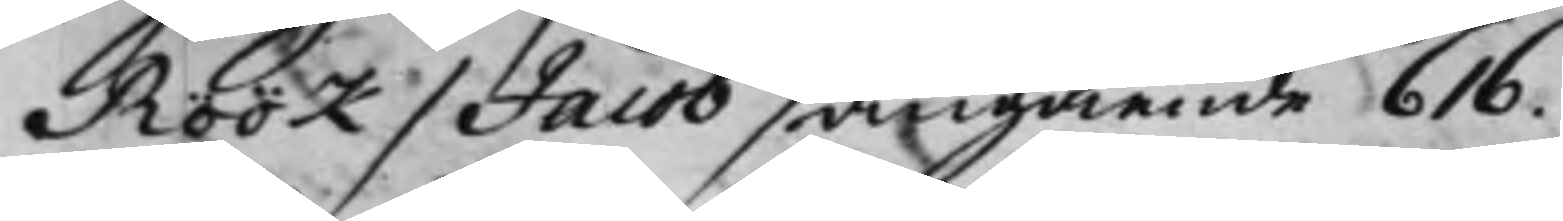Röök / Jacob / angående 616.
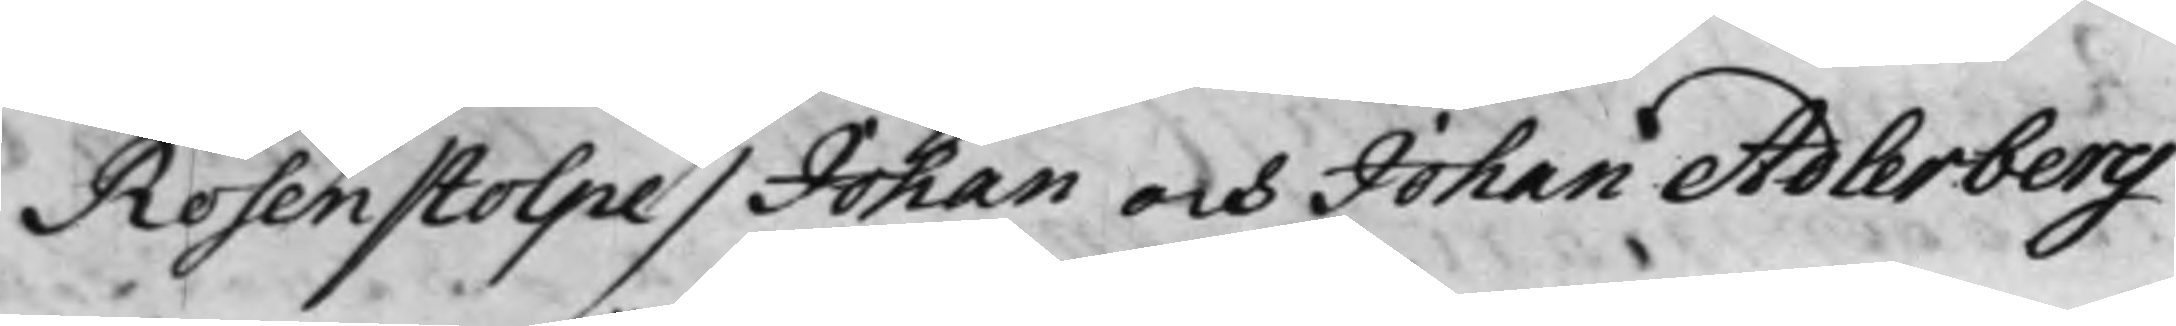Rosenstolpe / Johan och Johan Adlerberg
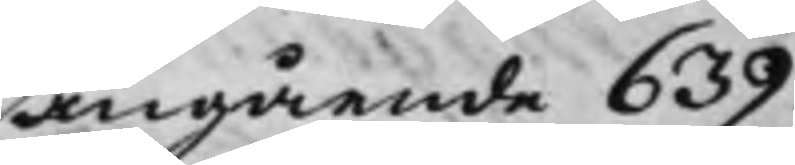angående 639.
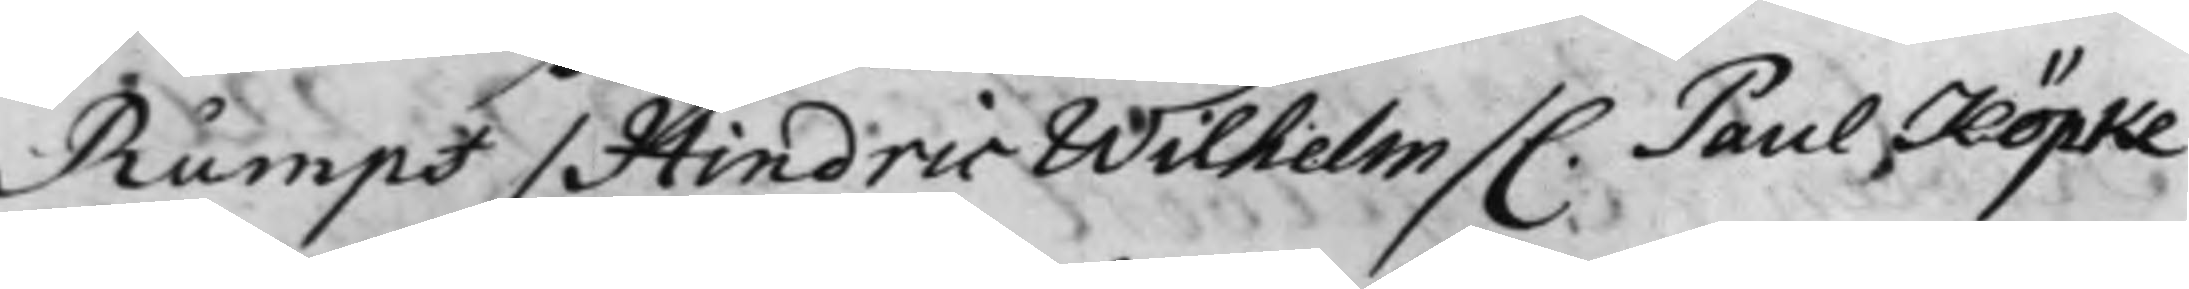Rumpf / Hindric Wilhelm / C. Paul Köpke
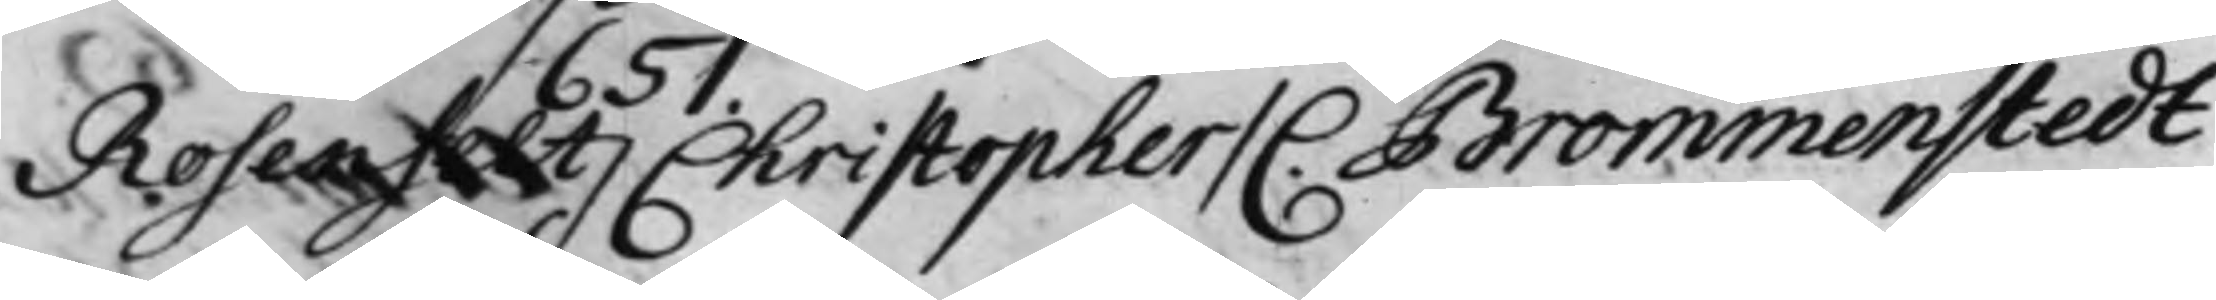Rosenfelt / Christopher / C. Brommenstedt
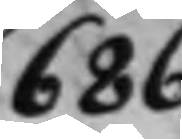686.
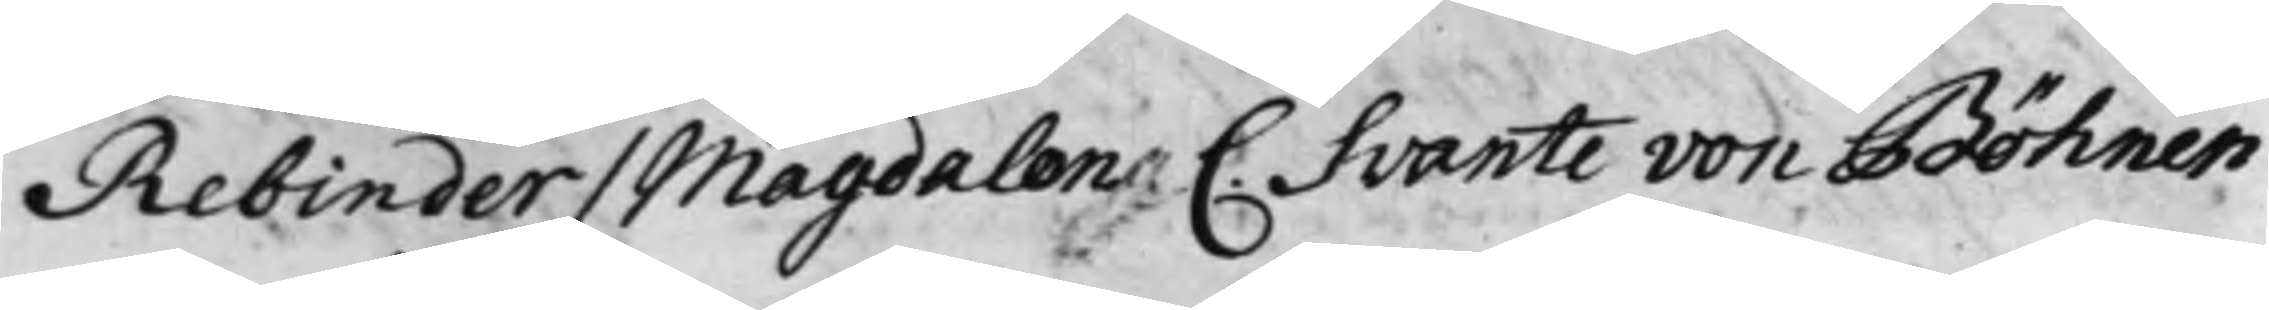Rebinder / Magdalena C. Svante von Böhnen
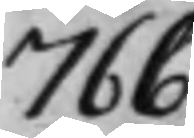766.
